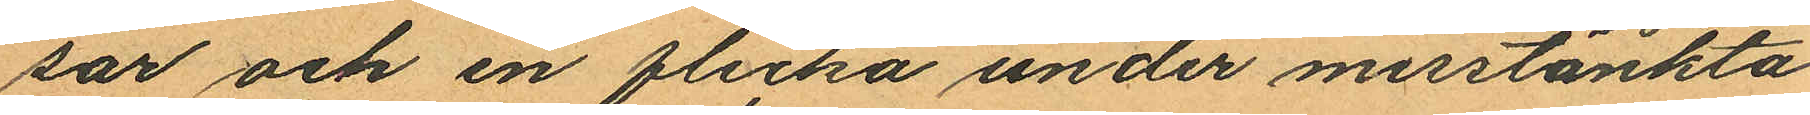sar och en flicka under misstänkta
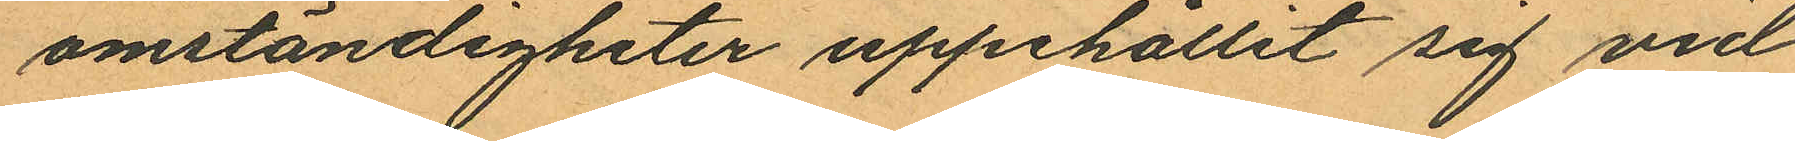omständigheter uppehållit sig vid
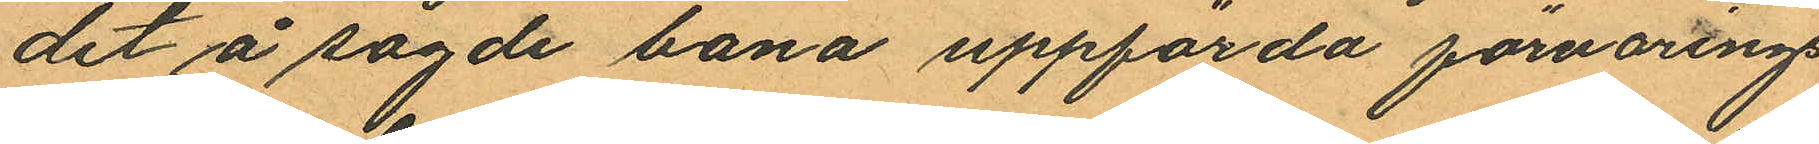det å sagde bana uppförda förvarings
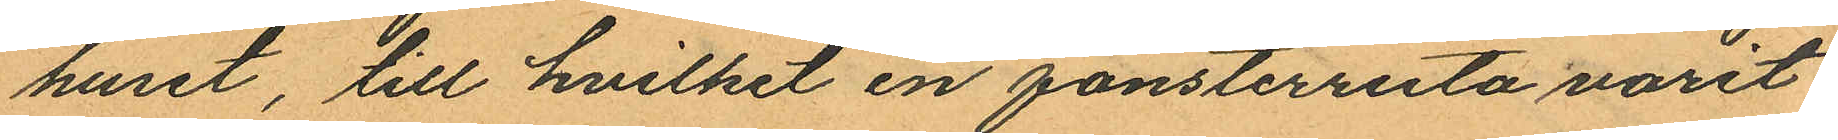huset, till hvilket en fönsterruta varit
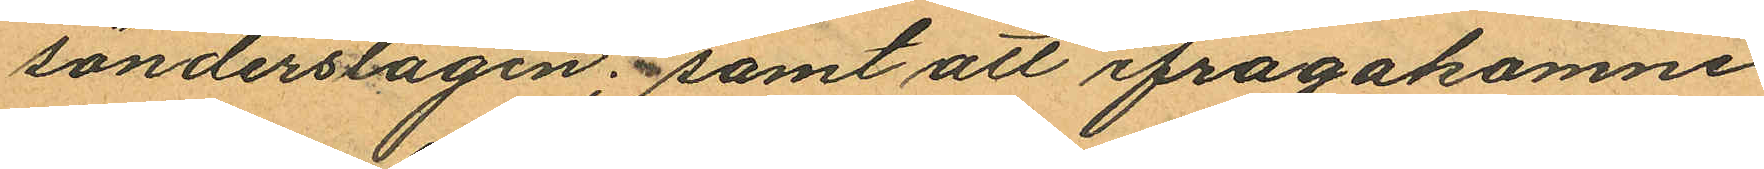sönderslagen; samt att ifrågakomne
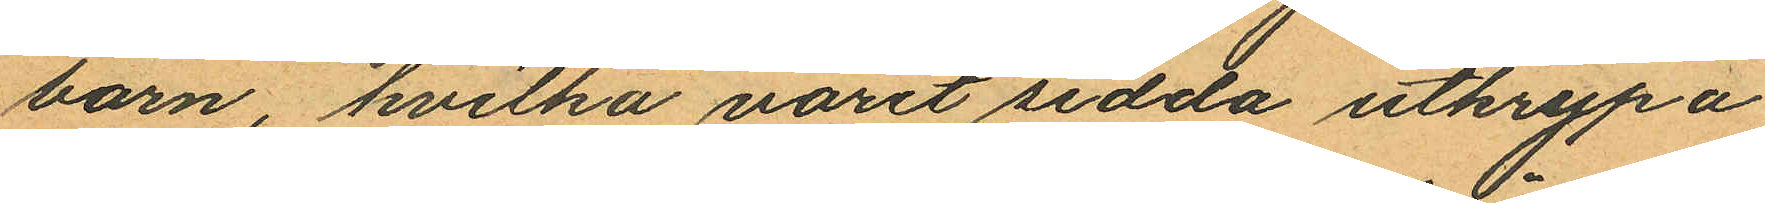barn, hvilka varit sedda utkrypa
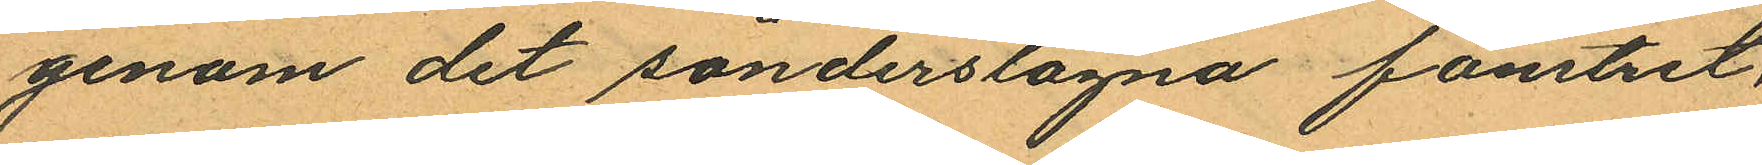genom det sönderstagna fönstret,
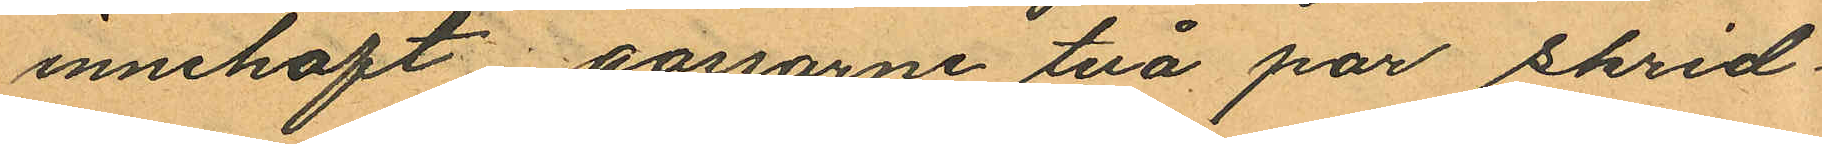innehaft gossarne två par skrid¬
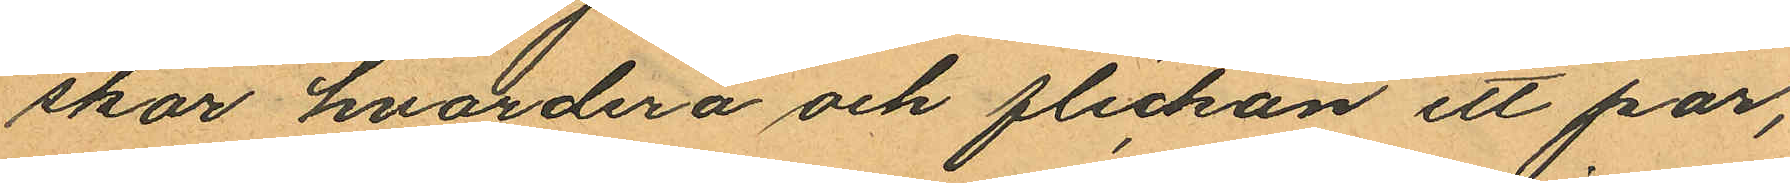skor hvardera och flickan ett par,
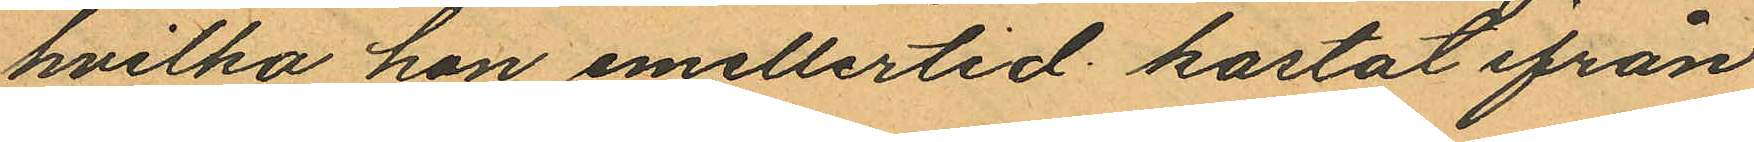hvilka hon emellertid kastat ifrån
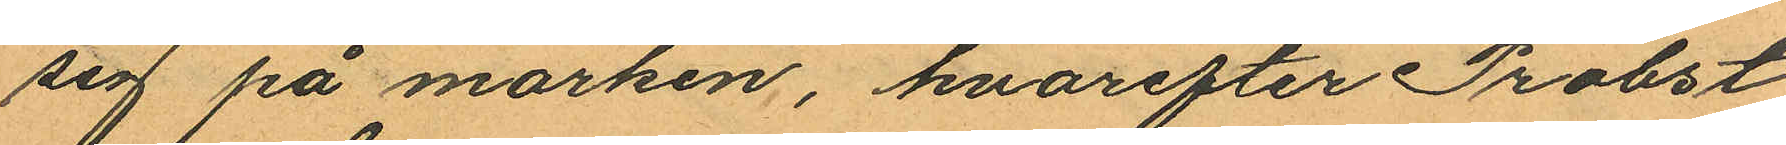sig på marken, hvarefter Probst
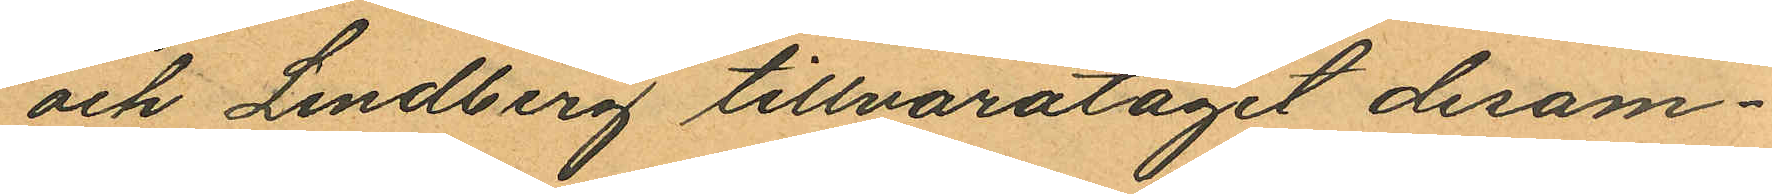och Lindberg tillvaratagit desam¬
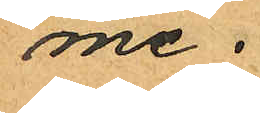me.
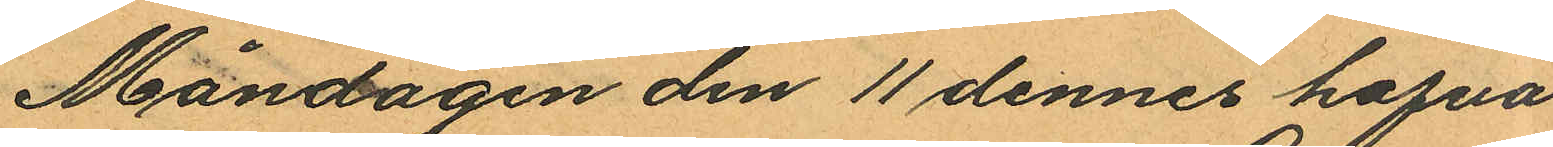Måndagen den 11 dennes hafva
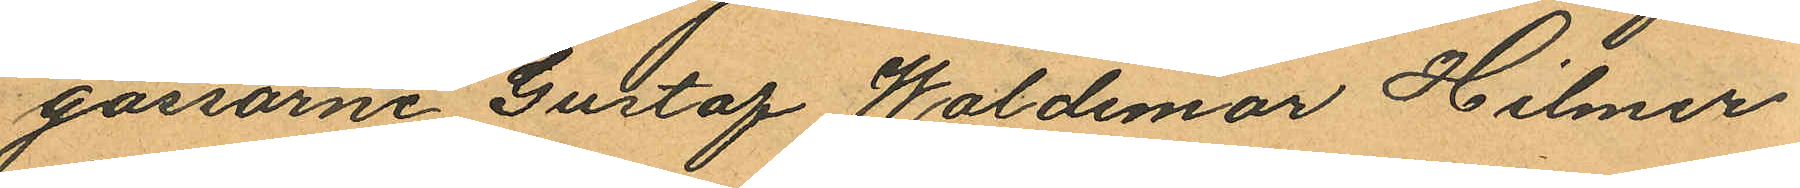gossarne Gustaf Waldemar Hilmer
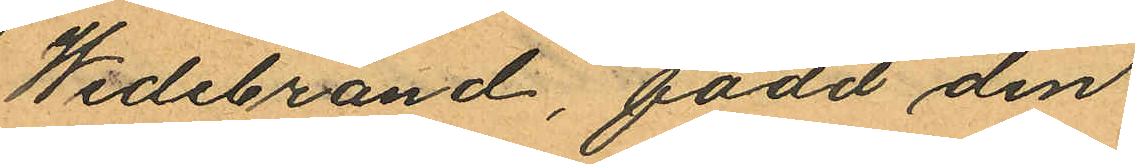Widebrand, född den
